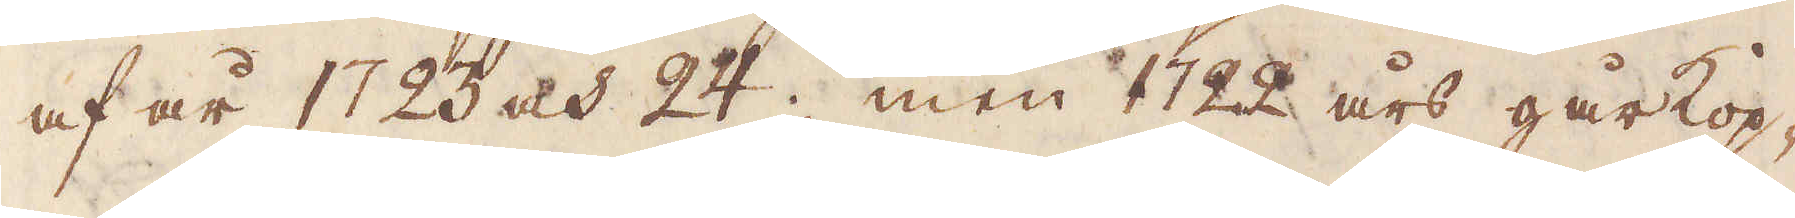af år 1723 och 24; men 1722 års gårkop-
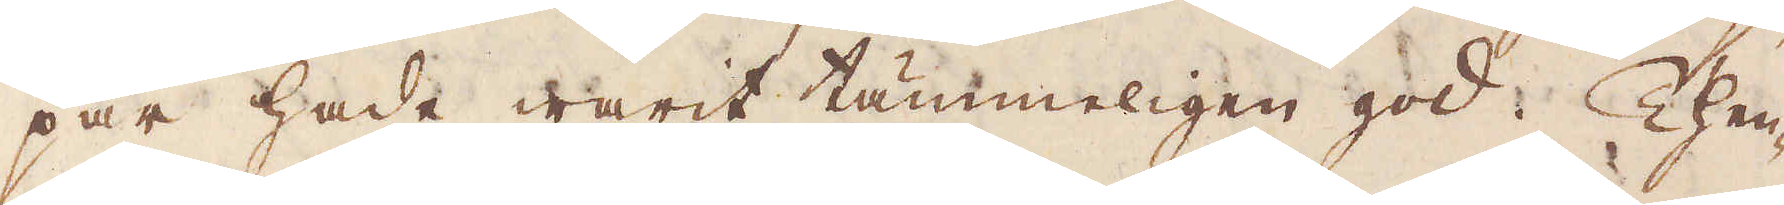par hade warit tämmeligen god. Then-
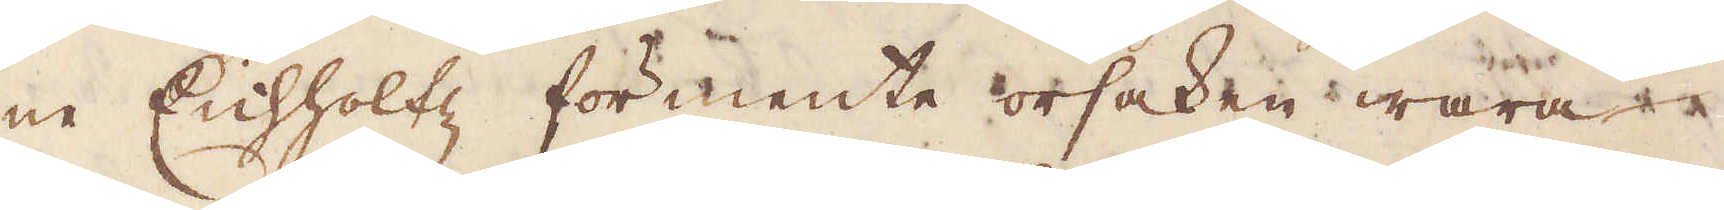ne Enhholtz förmente orsaken wara
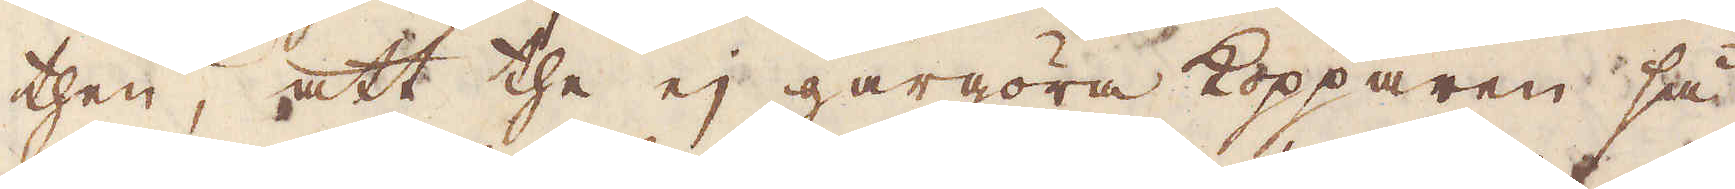then, att the ej gårgöra kopparen så
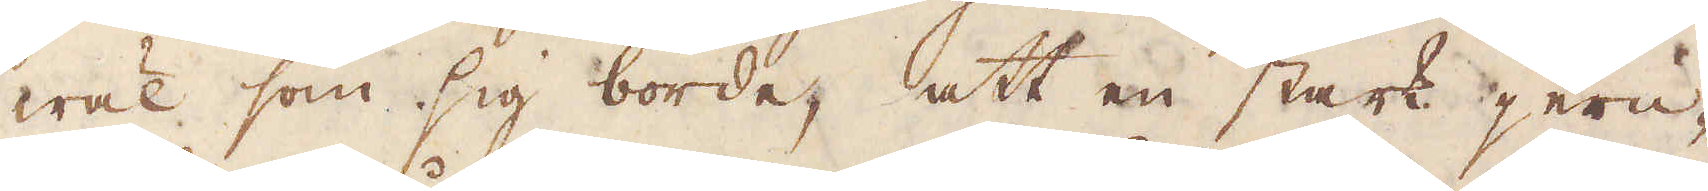wäl som sig borde, att en stark jern-
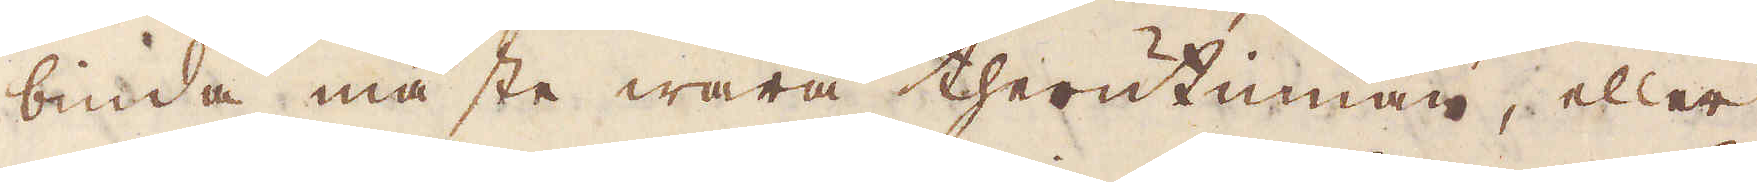binda måste wara therutinnan, eller
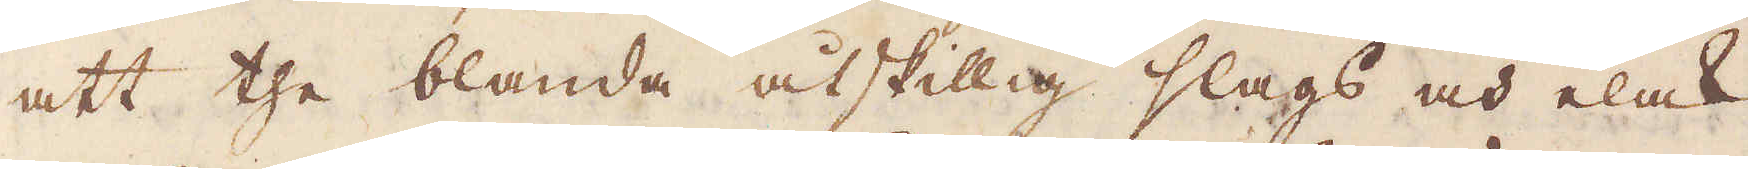att the blanda åtskillig slags och elack
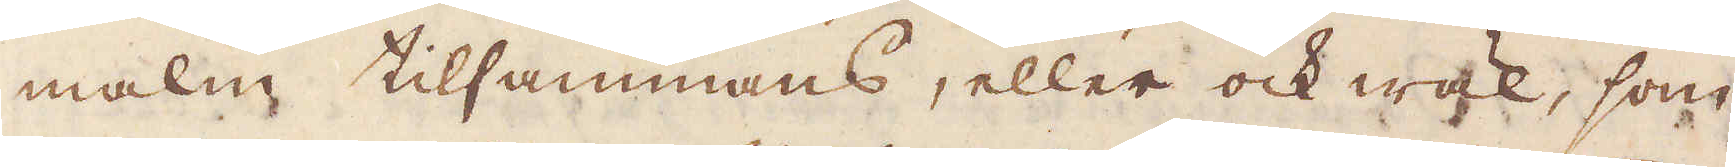malm tillsammans, eller ock wäl, som
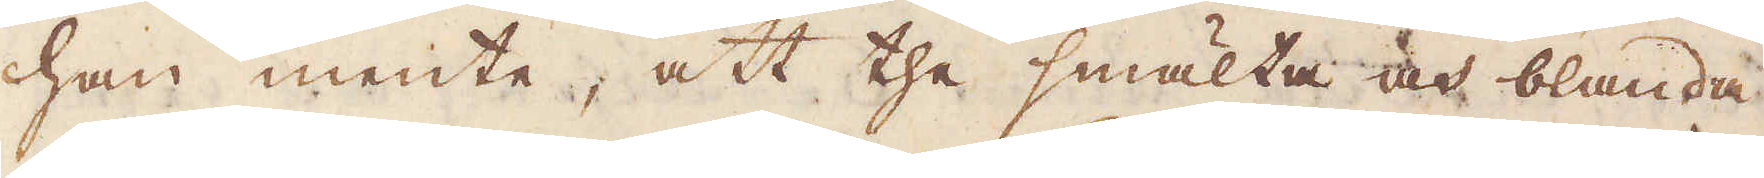han mente, att the smälta och blanda
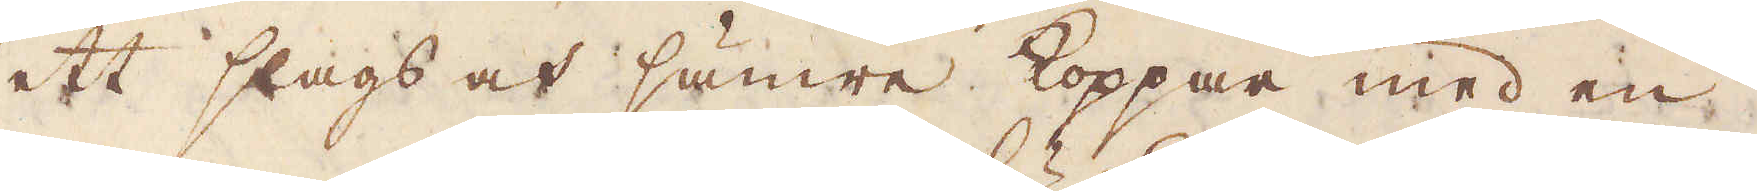ett slags och sämre Koppar med en
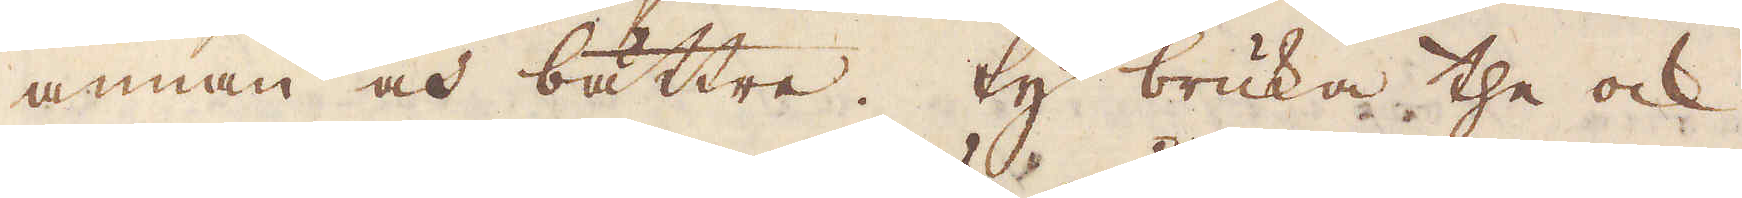annan och bättre. Ty bruka the ock
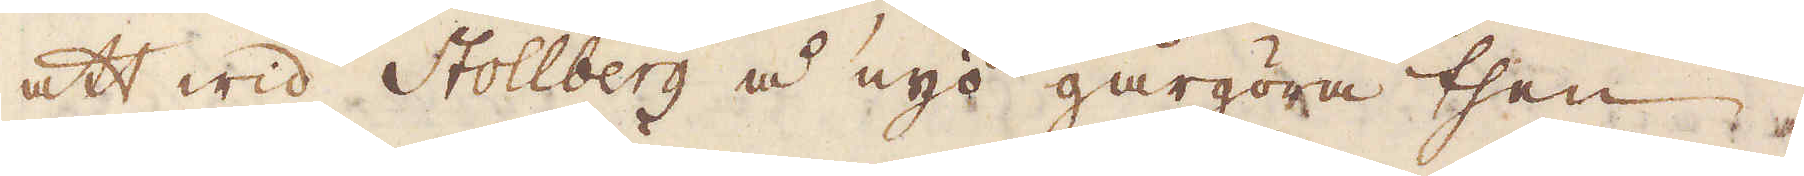att wid Stollberg å nyo gårgöra then
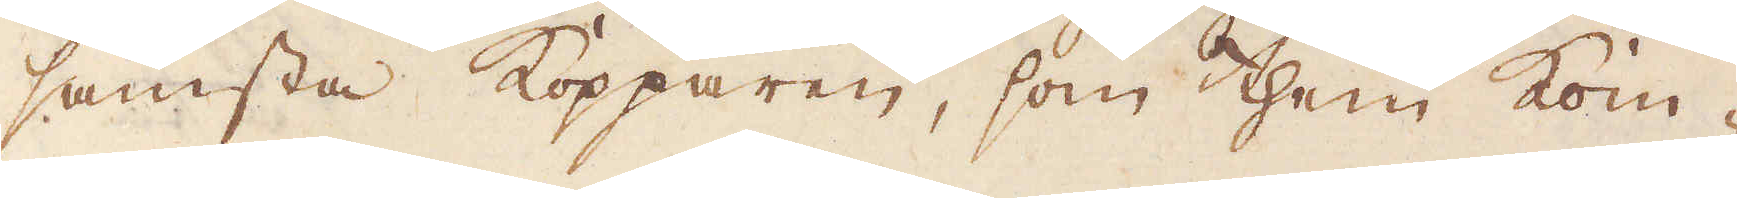sämsta kopparen, som them kom-
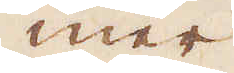mer
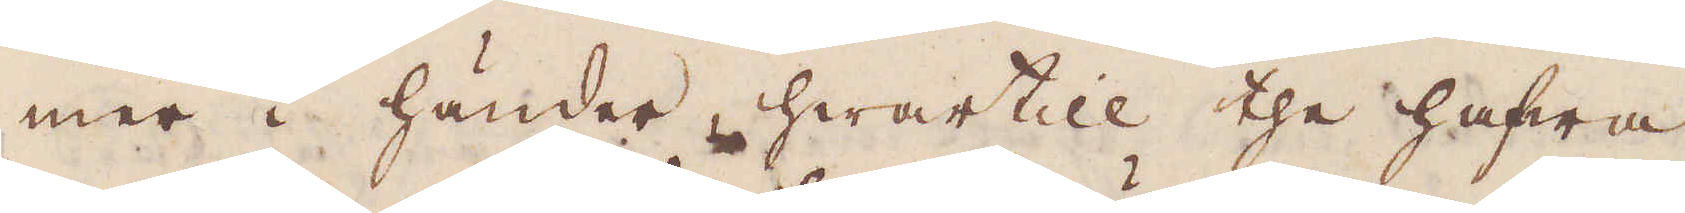mer i händer, hwartill the hafwa
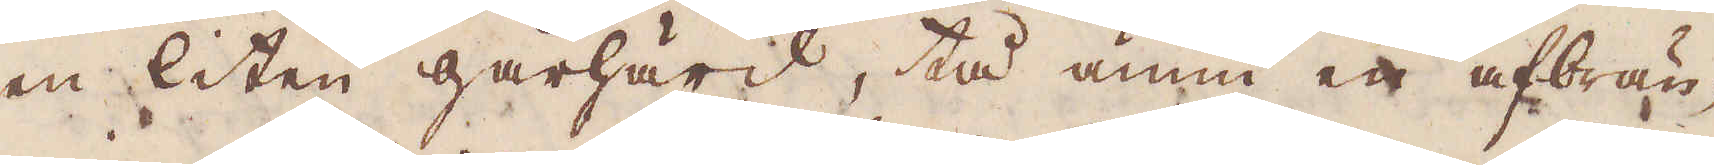en liten gårhård, tå ännu en afbrän-
